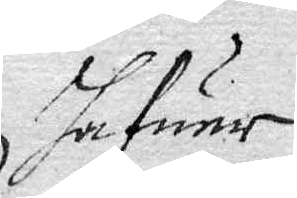hafuer
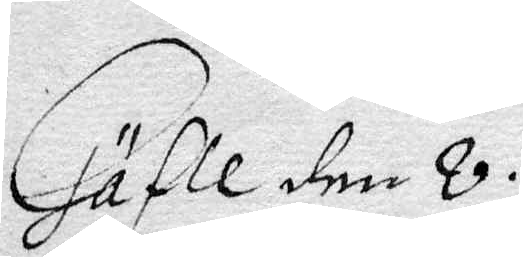Gäfle den 8
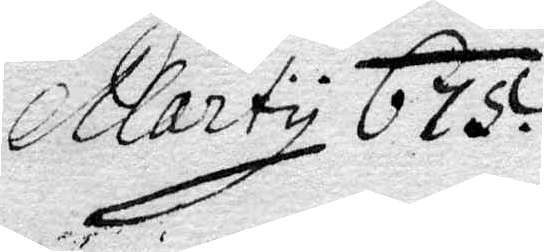Marty 675.
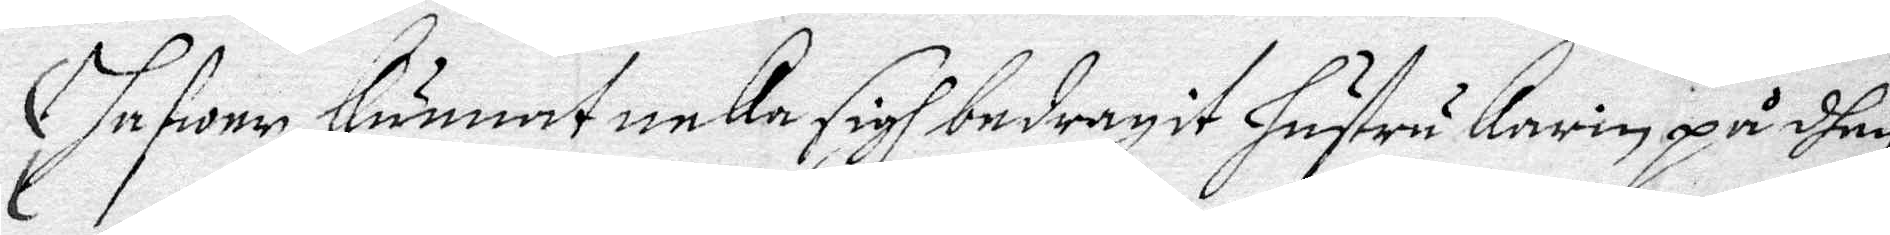hafwer kunnat neka sigh bedragit hustru Karin på dhen
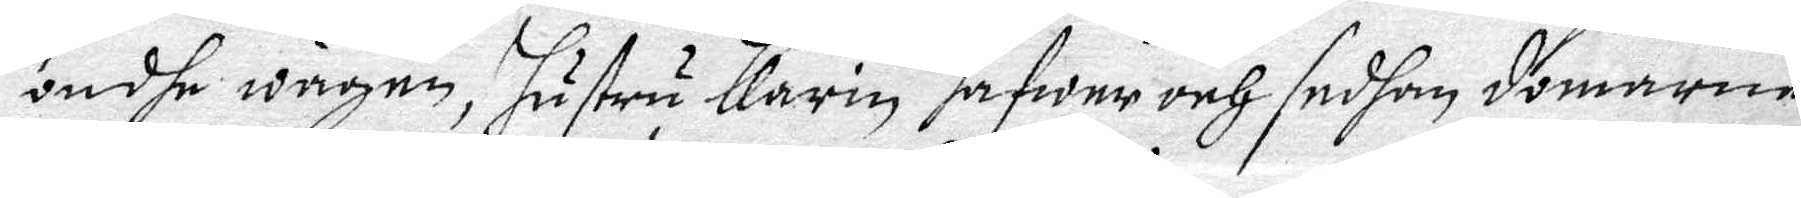ondhe wägen, hustru Karin hafwer och sedhan domarne
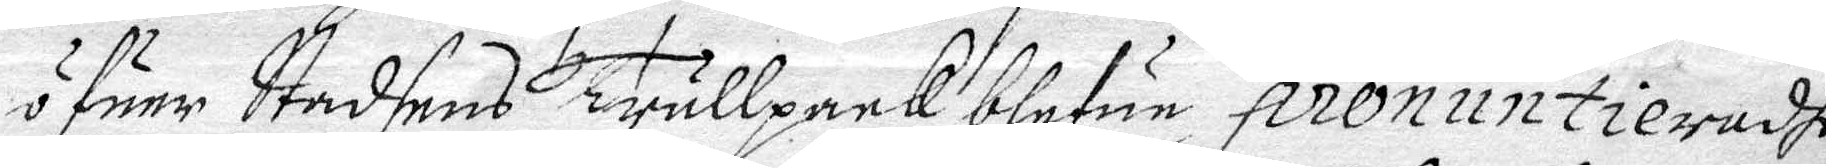öfuer Stadsens Trullpcck blefue pronuntieradhe
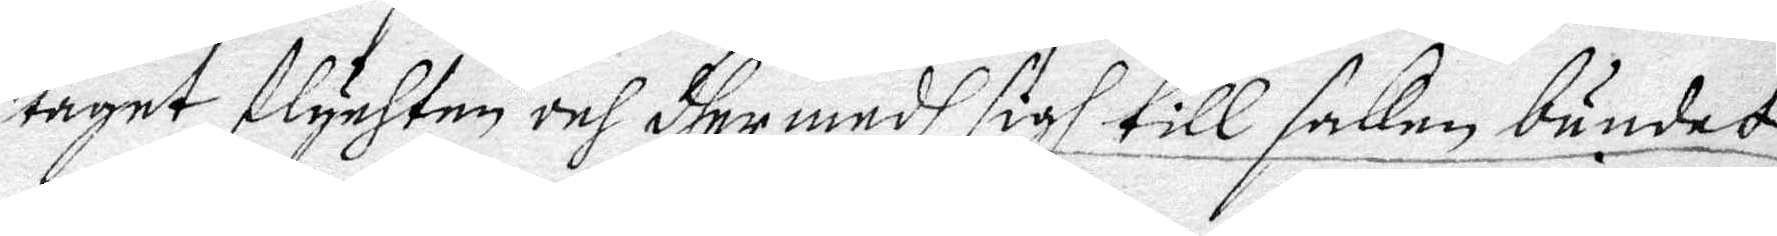taget flychten och dher medh sigh till saken bundet,
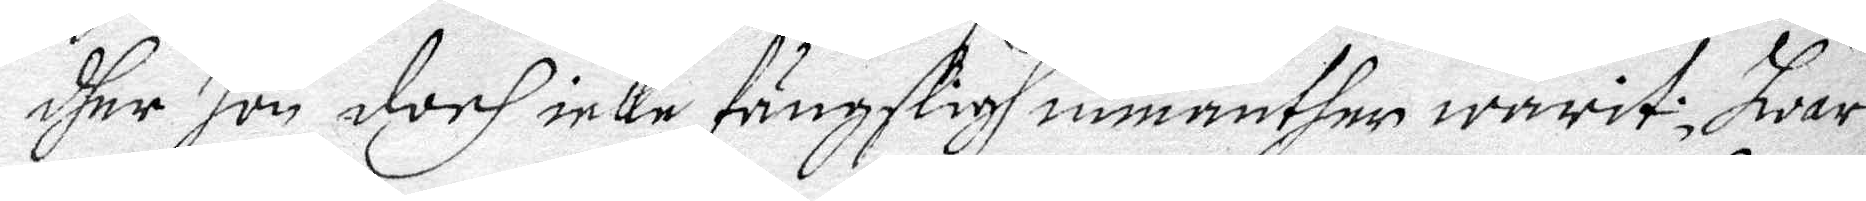dher hon doch icke fängsligh inmanther warit; Hwar¬
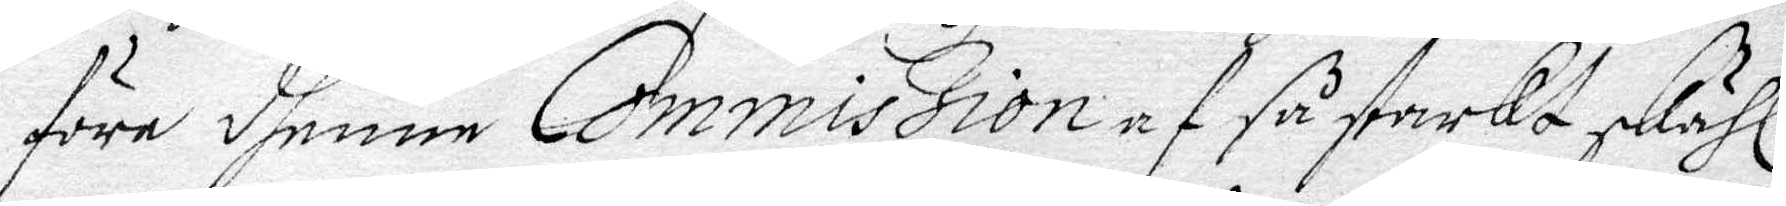före dhenne Commission af så starkt skähl
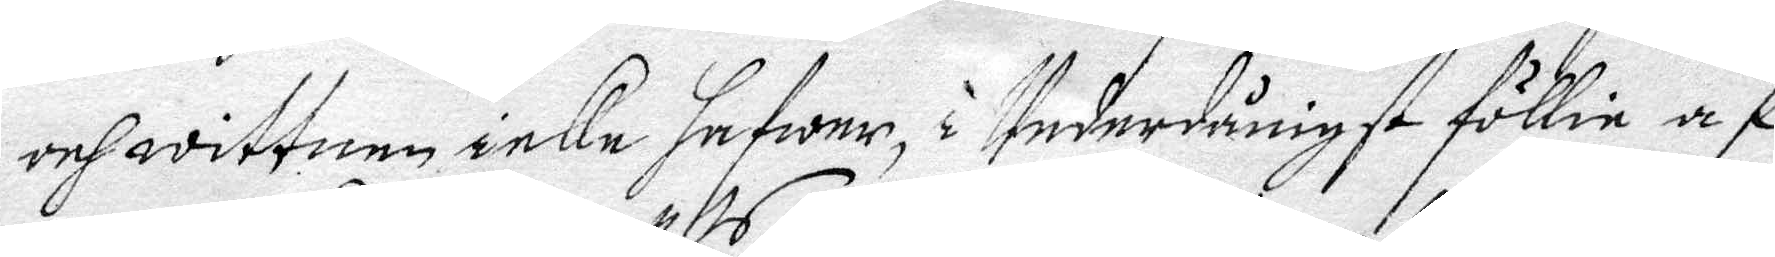och wittnen icke hafwer, i Underdånigst föllie af
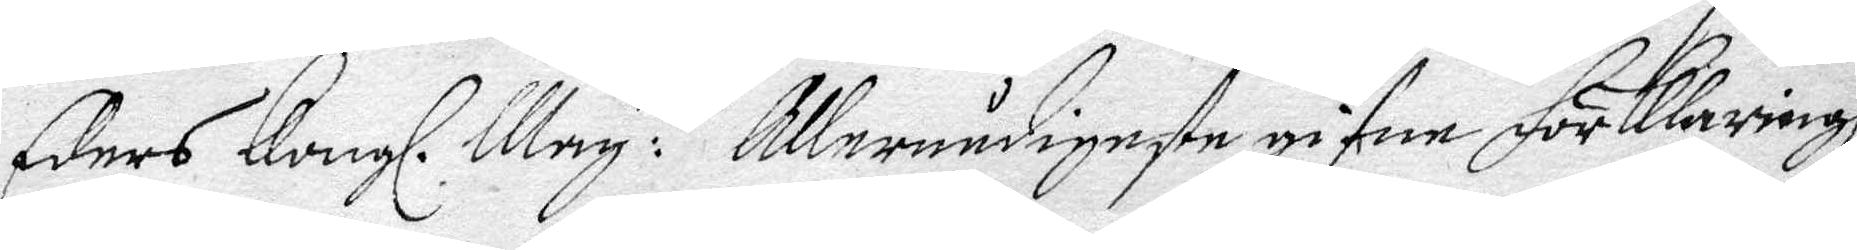Eders Kongl. May: ts Allernådigste gifne förklaringh
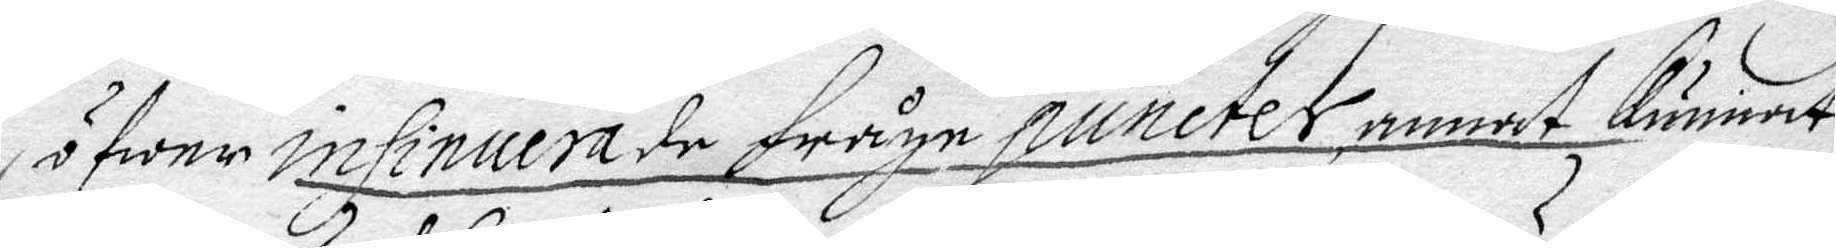öfwer insinuera de fråge puncter, annat kunnat
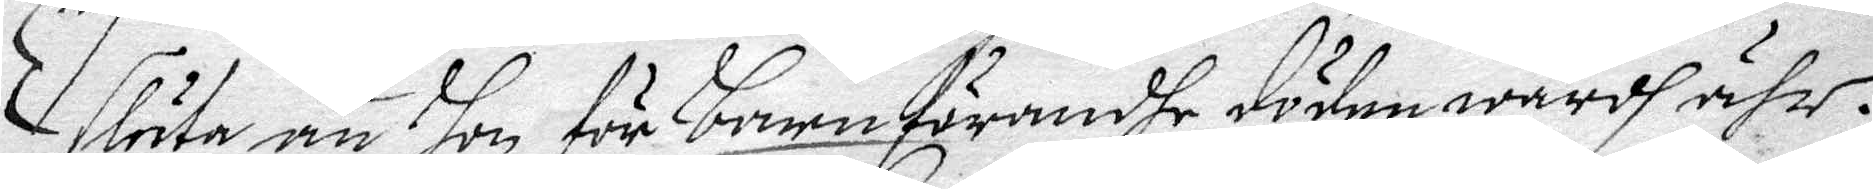sluta än hon för barnaförandhe döden wärdh ähr.
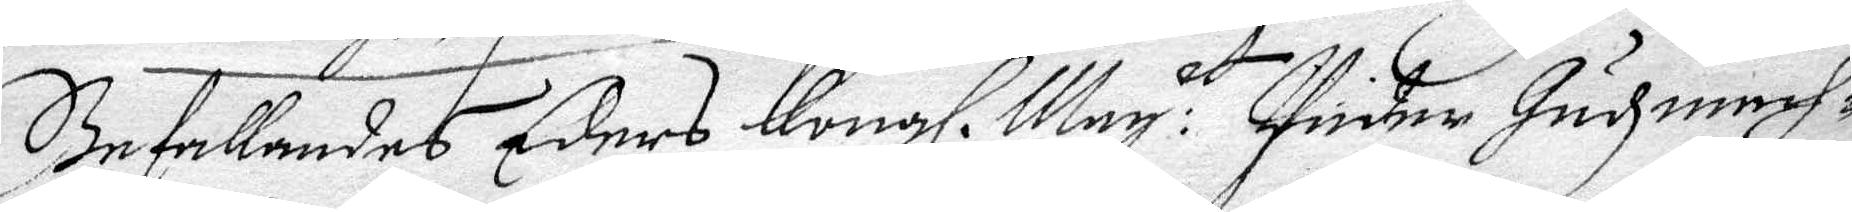befallandes Eders Kongl. May. t Under Gudzmech¬
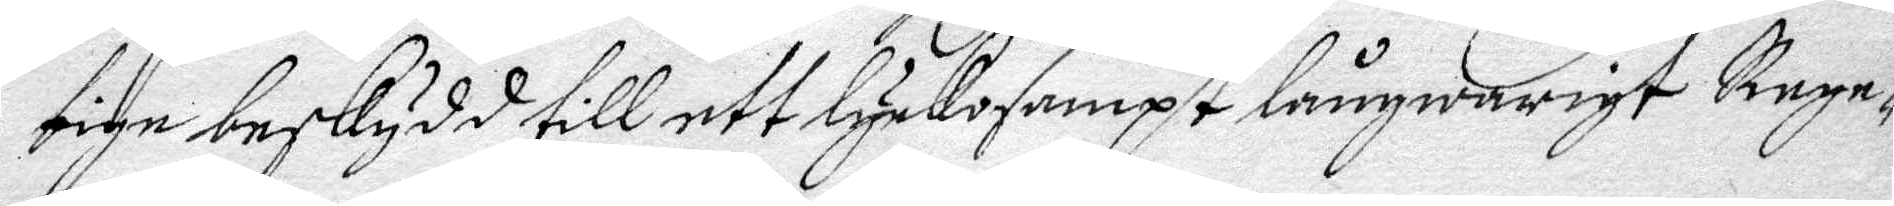tige beskydd till ett lyckosampt långwarigt Rege¬
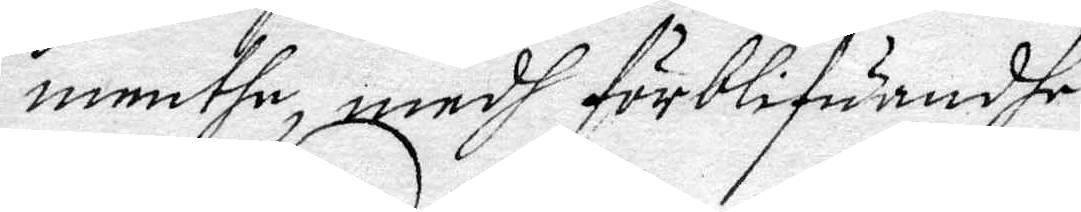menthe, medh förblifuandhe
